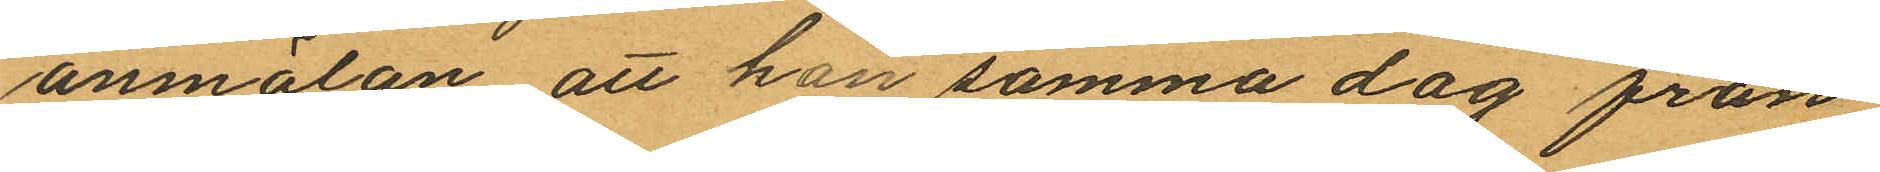anmälan att han samma dag från
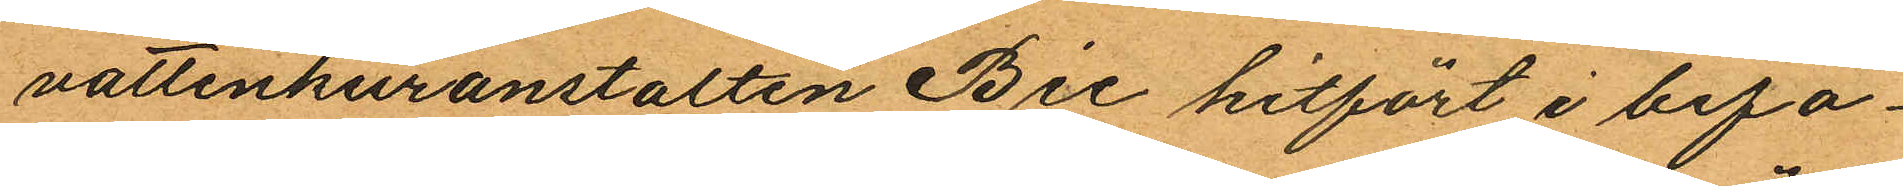vattenkuranstalten Bic hitfört i bifo¬
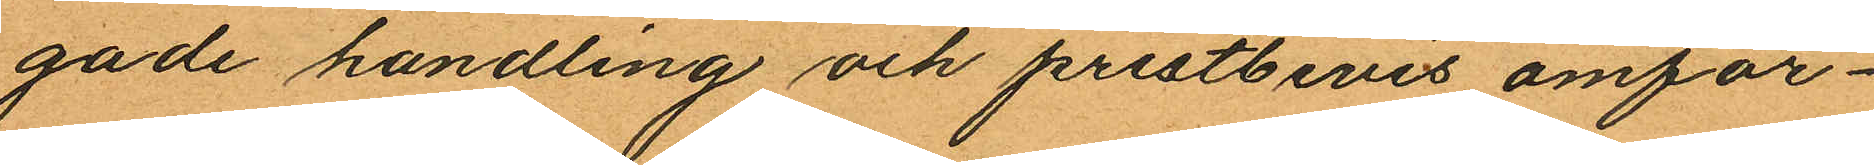gade handling och prestbevis omför¬
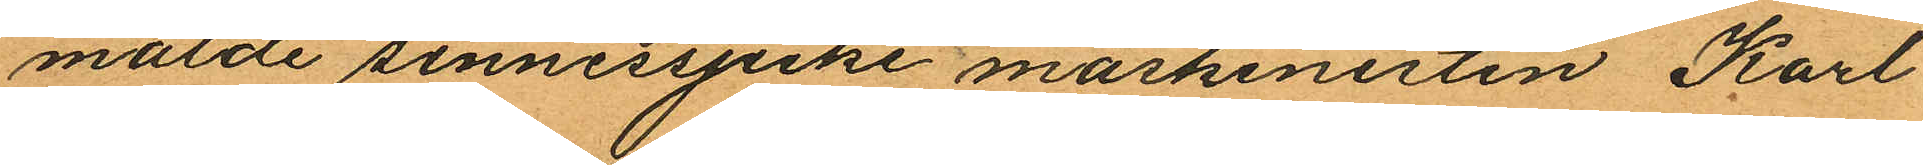mälde sinnessjuke maskinisten Karl
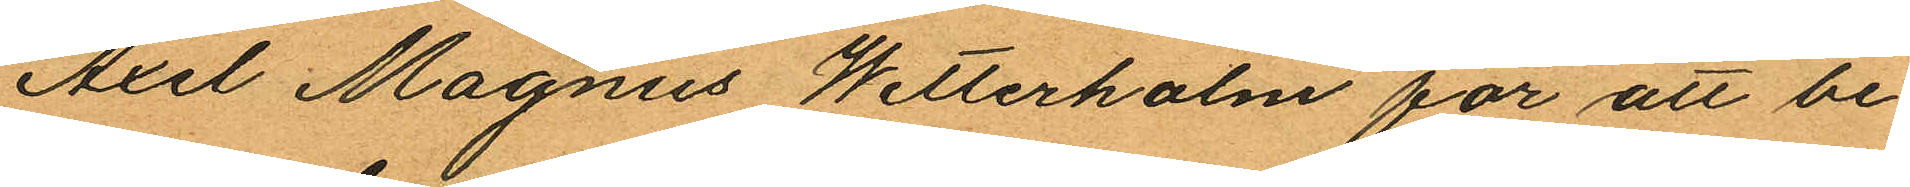Axel Magnus Wetterholm för att be¬
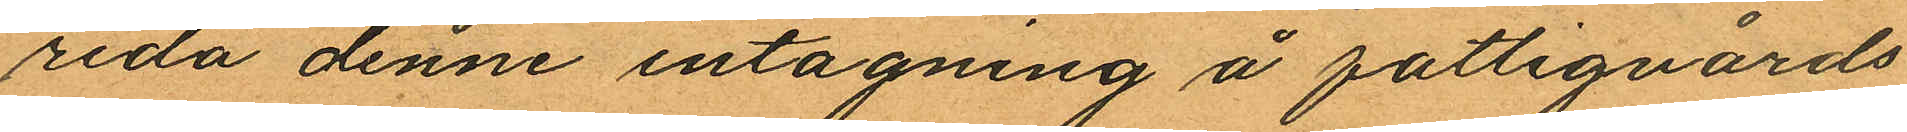reda denne intagning å fattigvårds
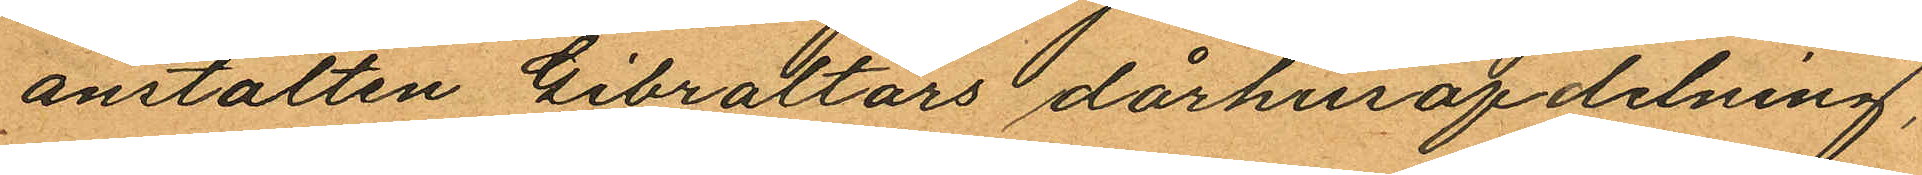anstalten Gibraltars dårhusafdelning,
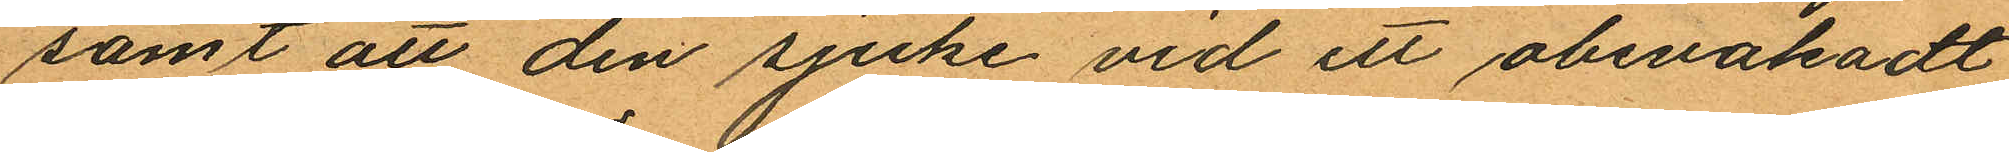samt att den sjuke vid ett obevakadt
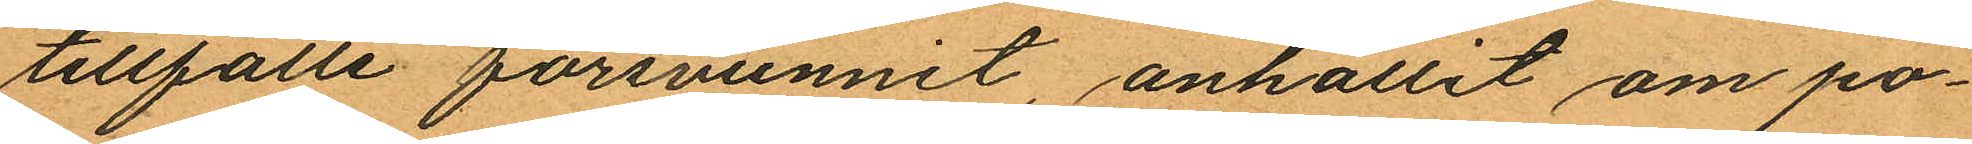tillfälle försvunnit, anhållit om po¬
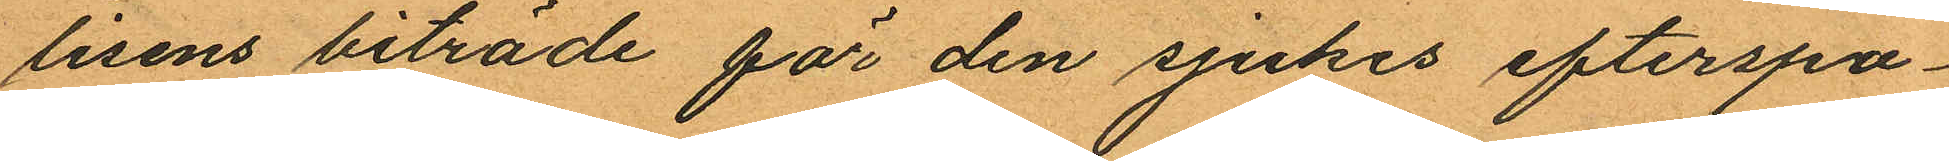lisens biträde för den sjukes efterspa¬
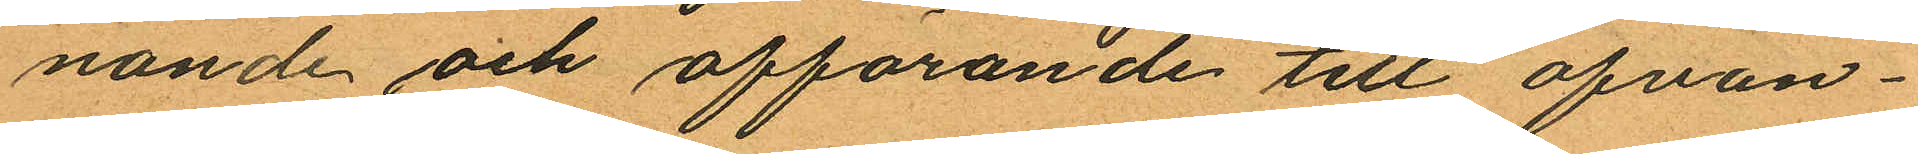nande och afförande till ofvan¬
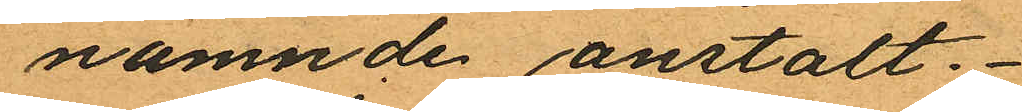nämnde anstalt.
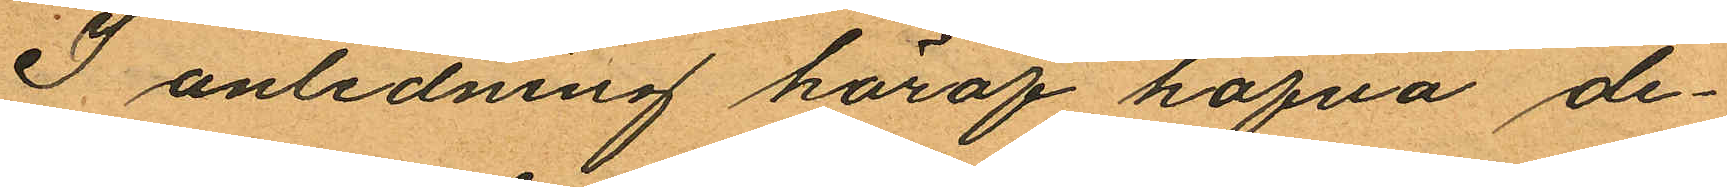I anledning häraf hafva de¬
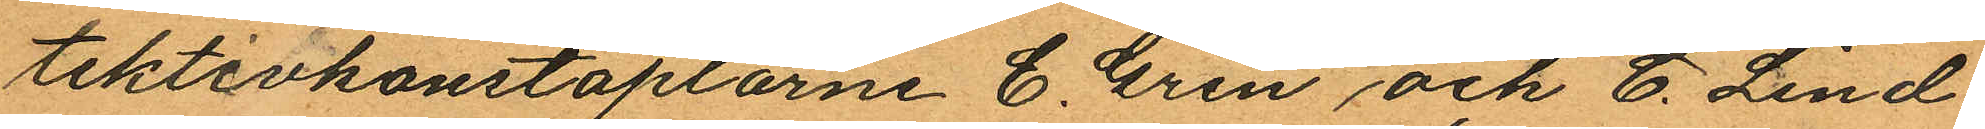tektivkonstaplarne E. Gren och C. Lind¬
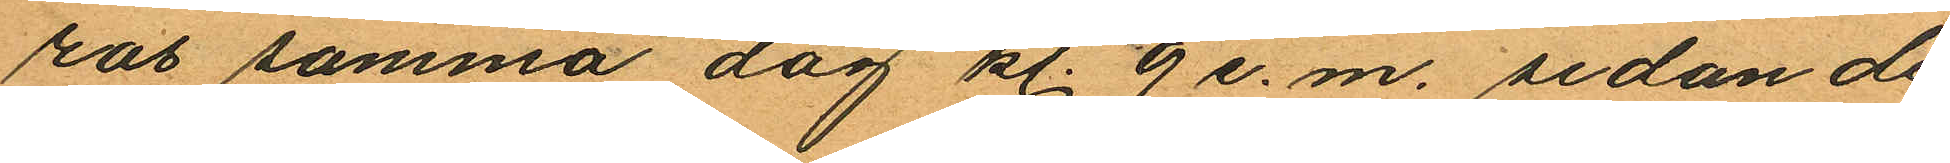ros samma dag kl. 9 e. m. sedan de
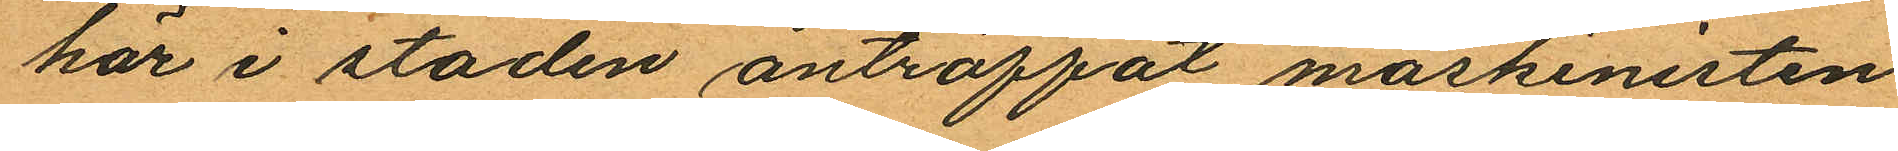här i staden anträffat maskinisten
